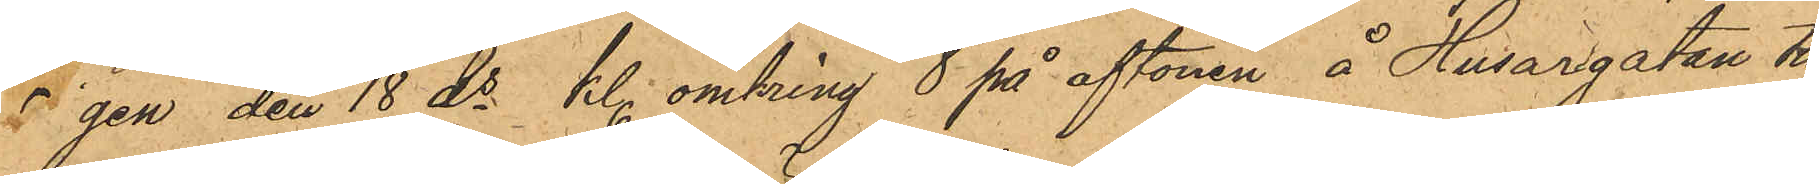gen den 18 ds kl. omkring 8 på aftonen å Husargatan till
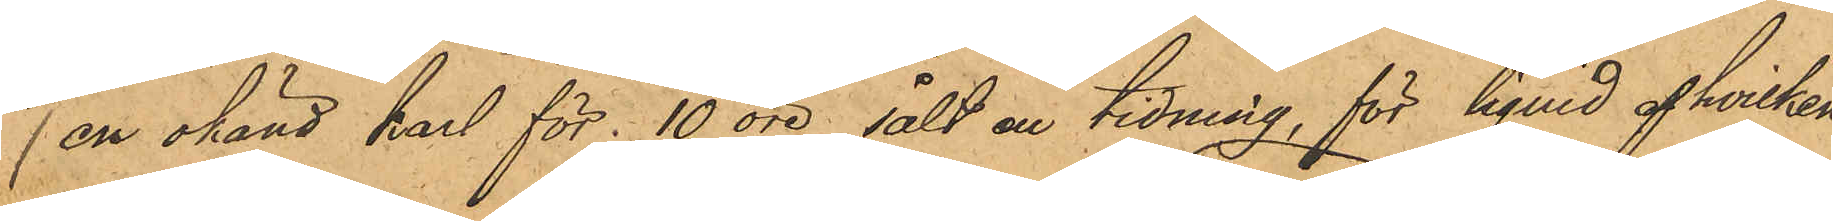en okänd karl för 10 öre sålt en tidning, för liquid af hvilken
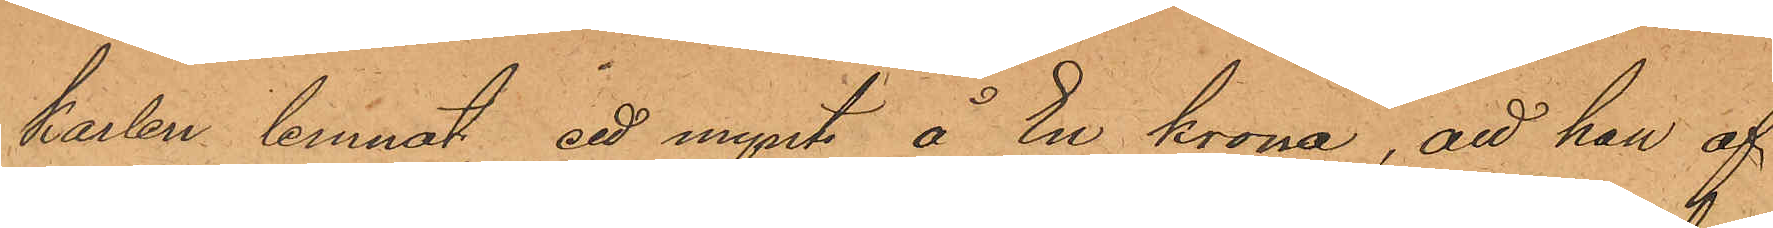karlen lemnat ett mynt å En krona, att han af
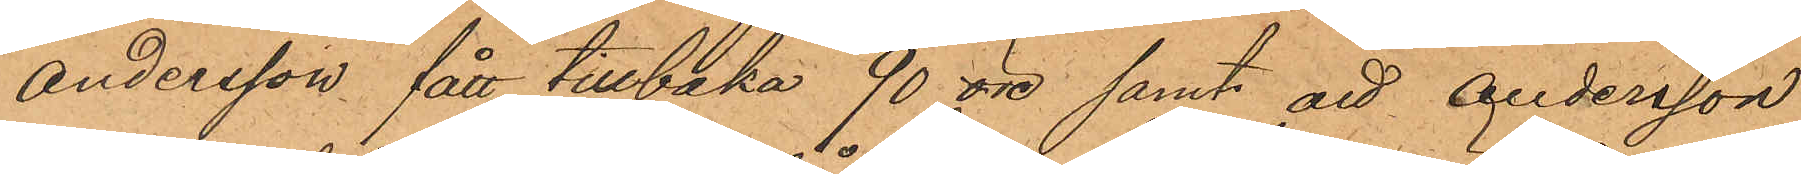Andersson fått tillbaka 90 öre samt att Andersson
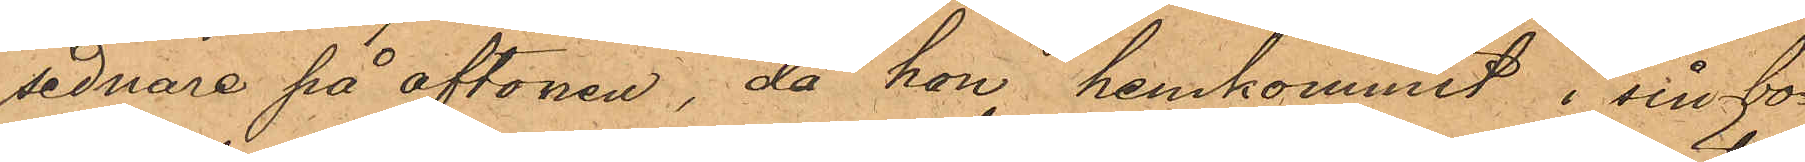sednare på aftonen, då hon hemkommit i sin bo¬
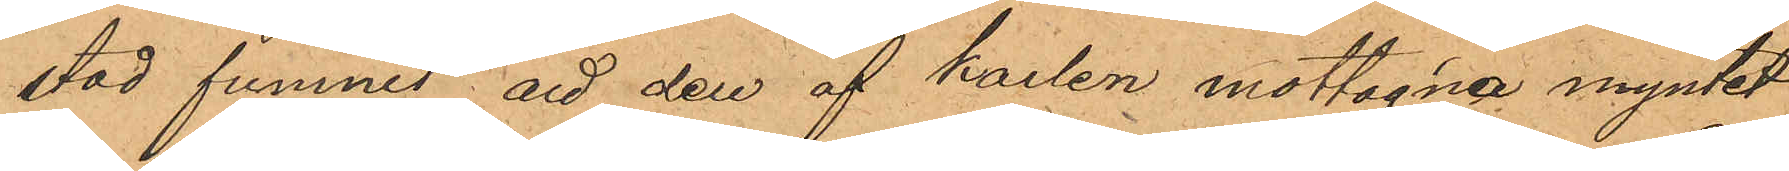stad funnit att den af karlen mottagna myntet
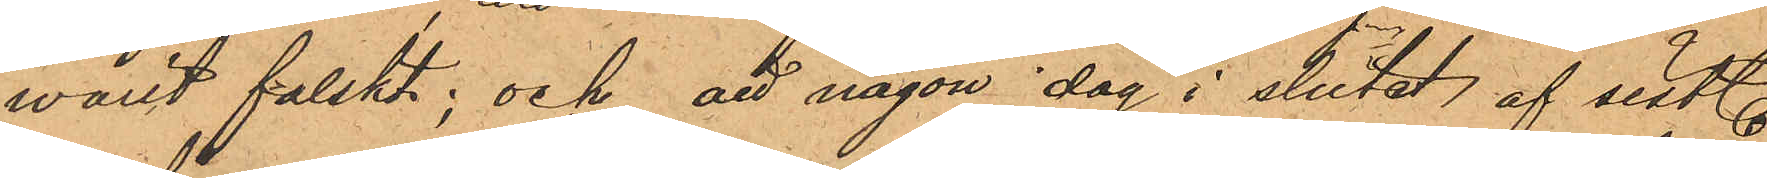warit falskt; och att någon dag i slutat af sistl.
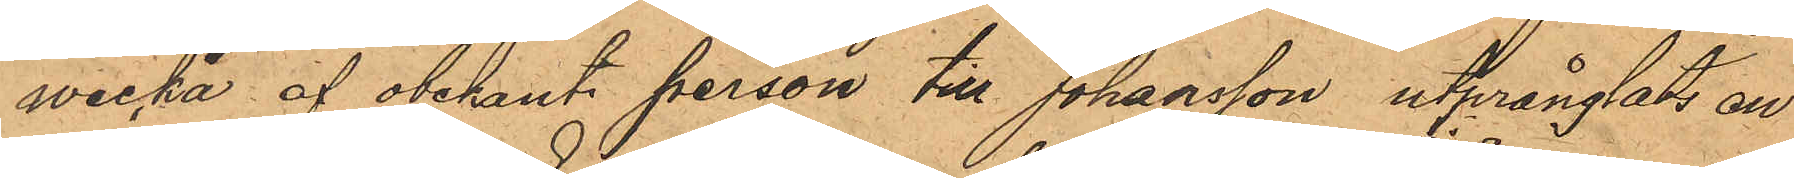wecka af obekant person till Johansson utprånglats en
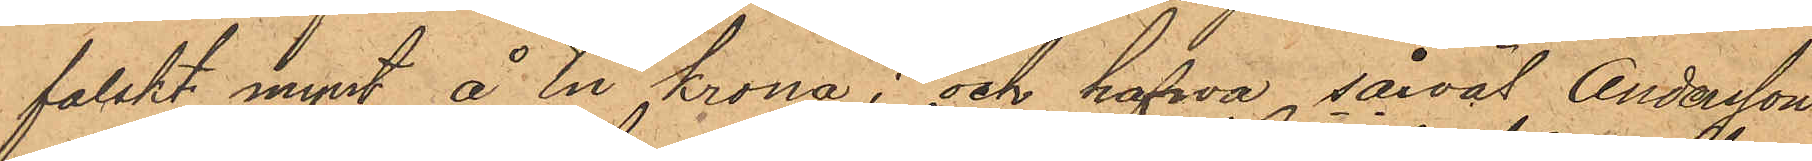falskt mynt å En krona; och hafva såväl Andersson
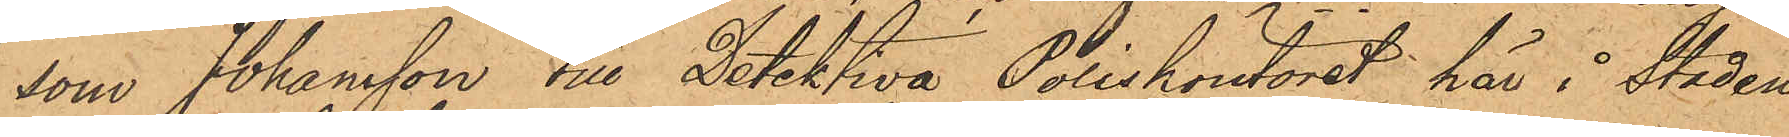som Johansson till Detektiva Poliskontoret här i staden
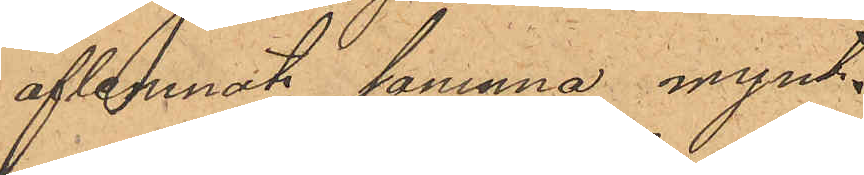aflemnat samma mynt.
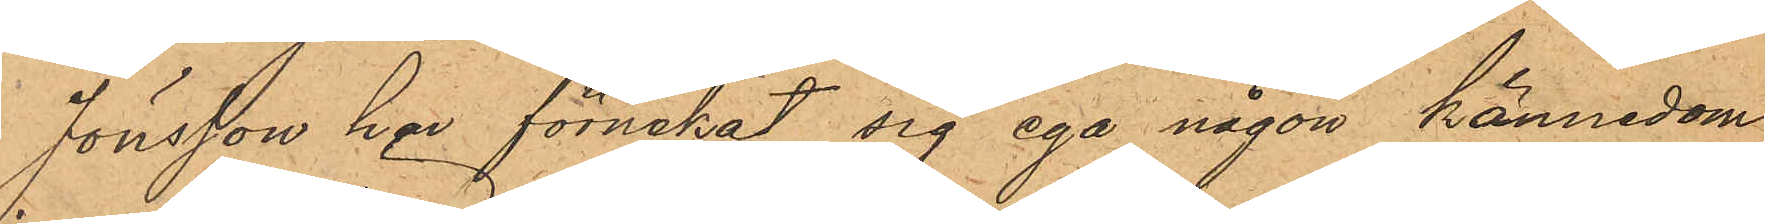Jönsson har förnekat sig ega någon kännedom
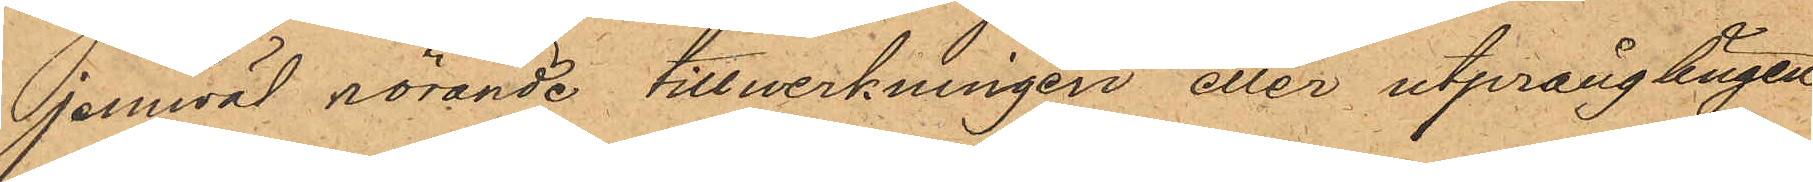jemväl rörande tillwerkningen eller utprånglingen
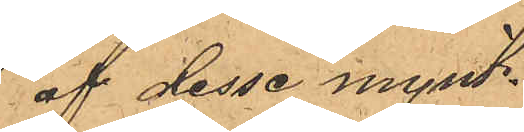af desse mynt.
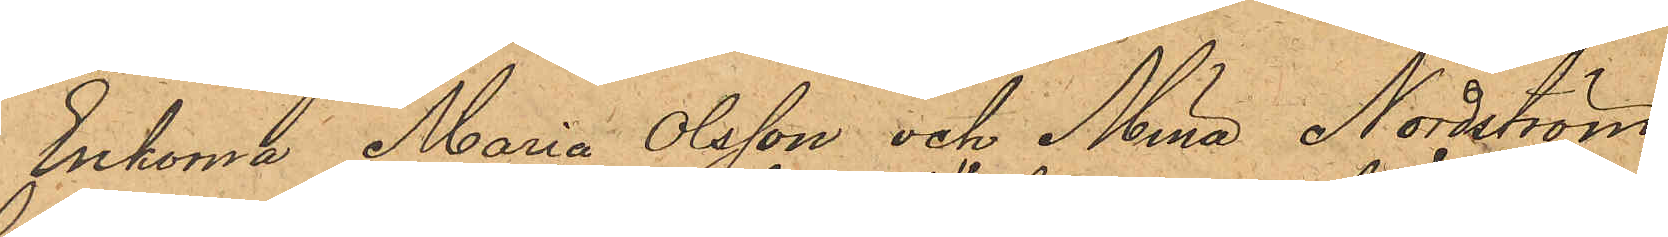Enkorna Maria Olsson och Mina Nordström
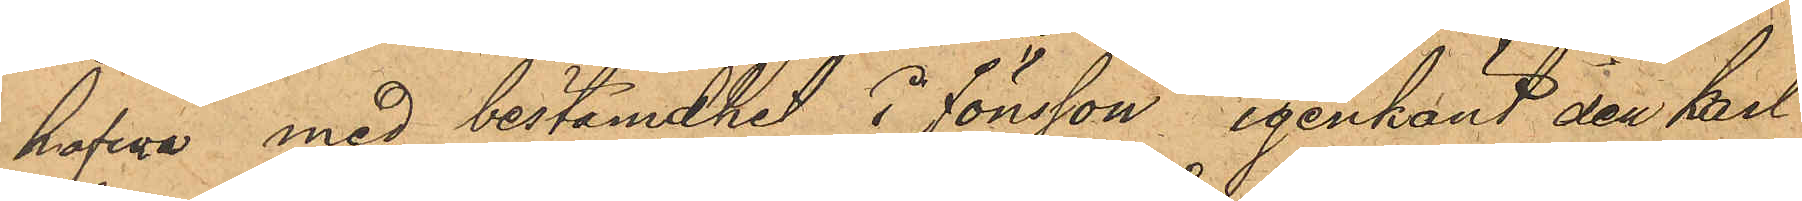hafwa med bestämdhet i Jönsson igenkänt den karl
